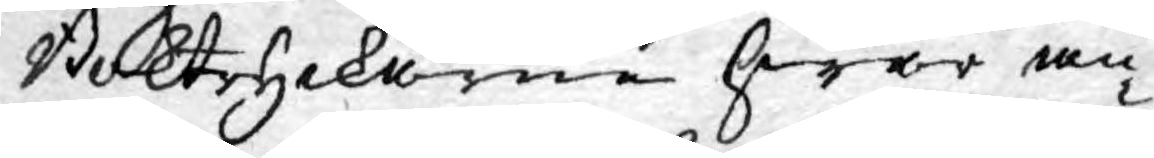Boktryckarne hwar an¬
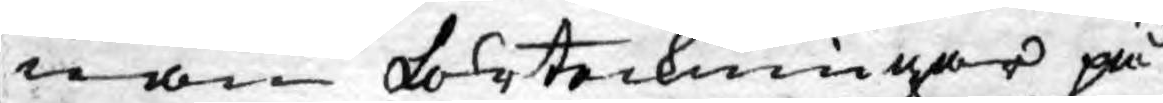nan förteckningar på
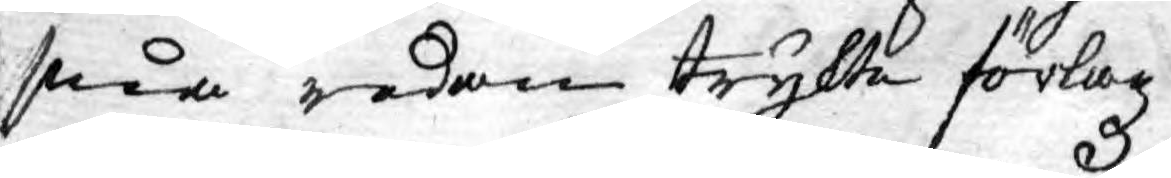sina redan trykte förlagz
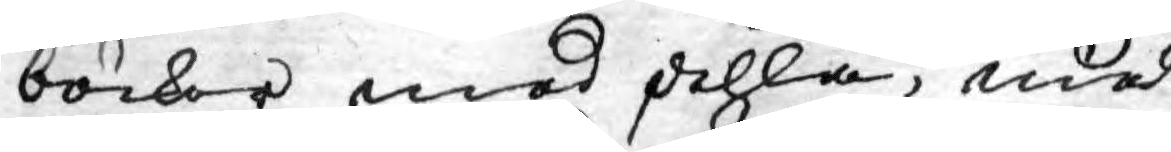böcker med dehla, med
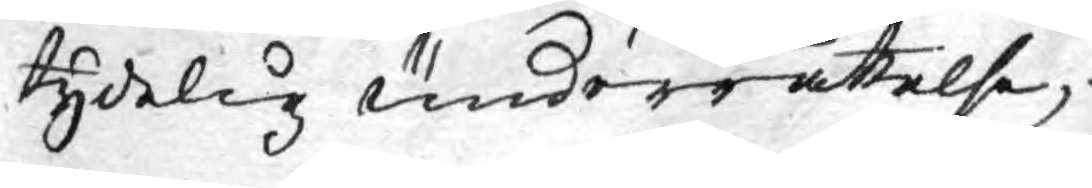tydelig underrättelse,
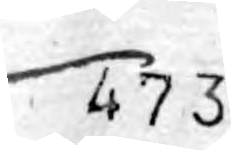473
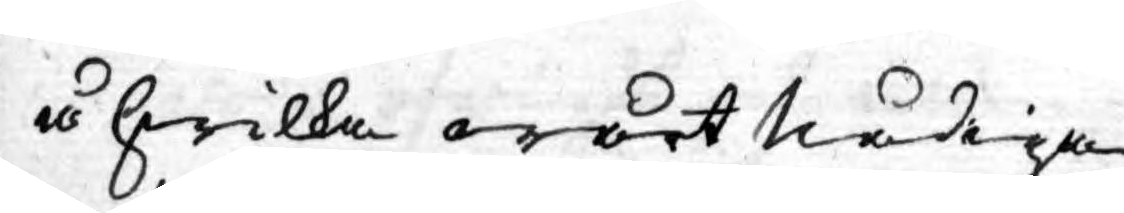å hwilka wårt Nådiga
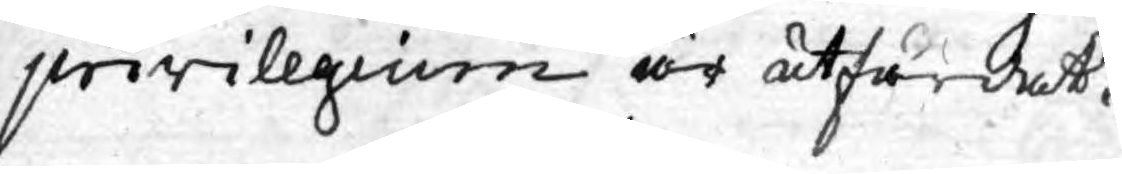privilegium är utfärdat.
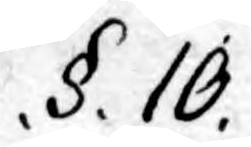.§.10.
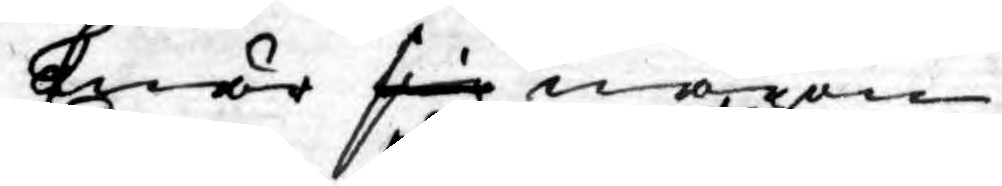Enär sig någon
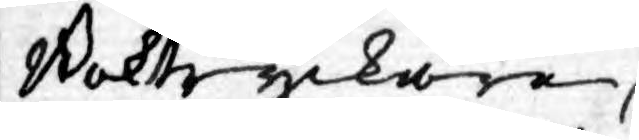Boktryckare
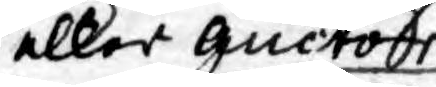eller Auctor
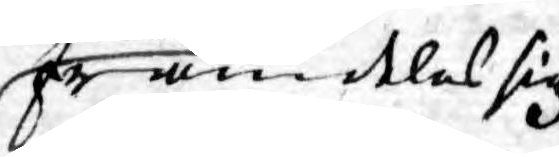framdeles sig
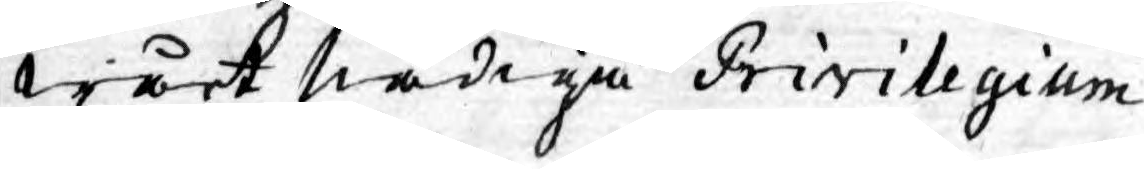wårt Nådiga Privilegium
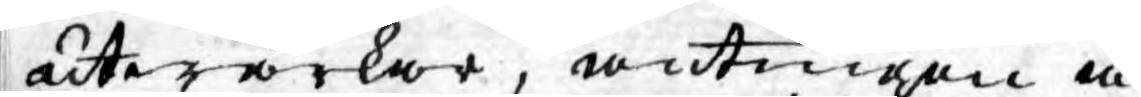utwärkar, antingen å
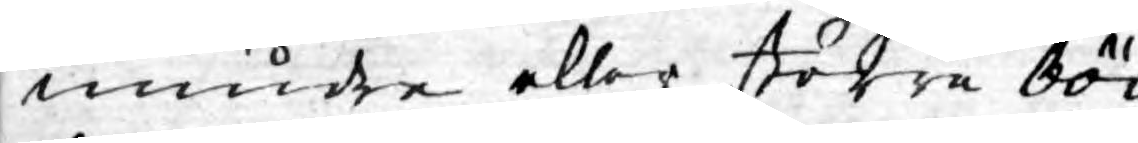mindre eller större böc¬
